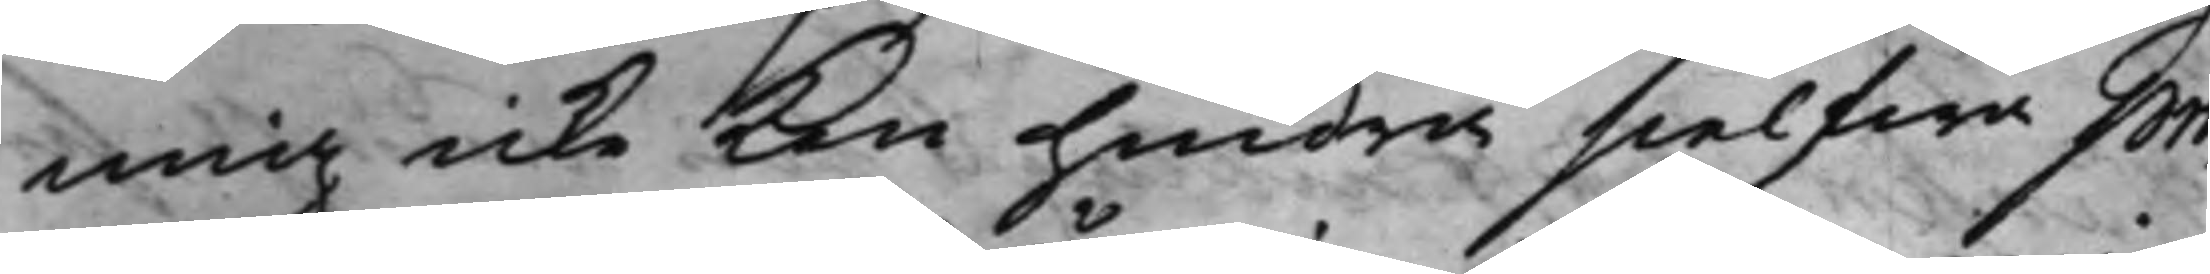mig icke kan hindra sielfwa pro¬
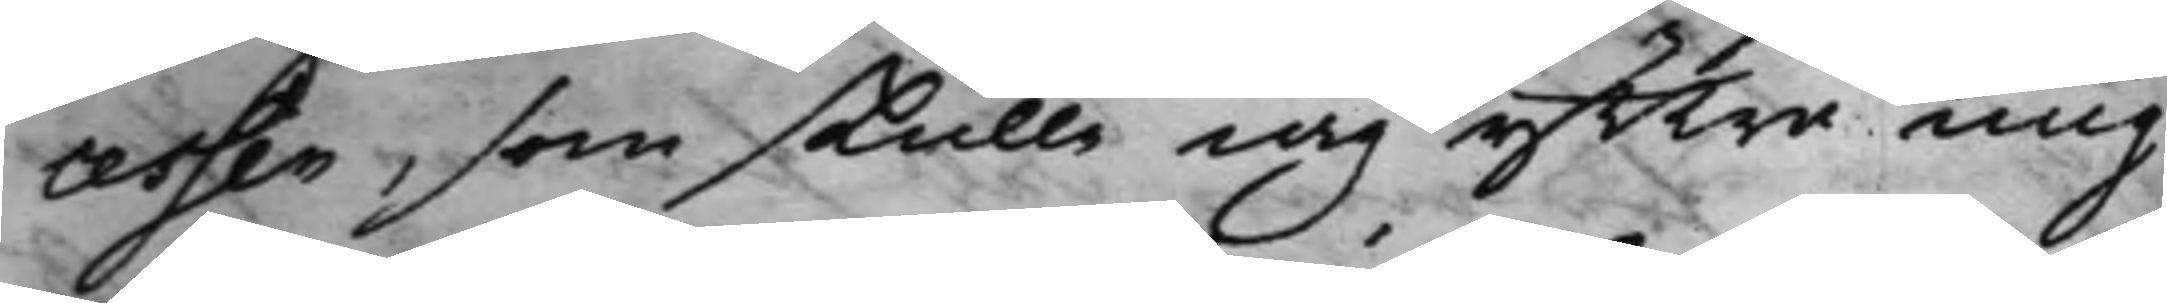cessen, som skulle iag yttra mig
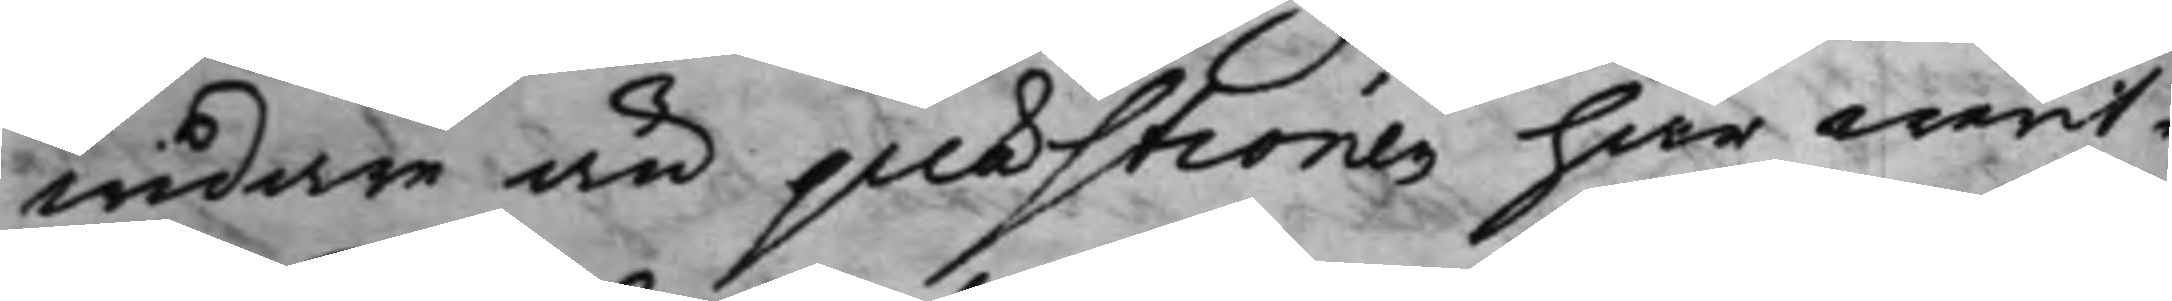widare än quæstionen här warit:
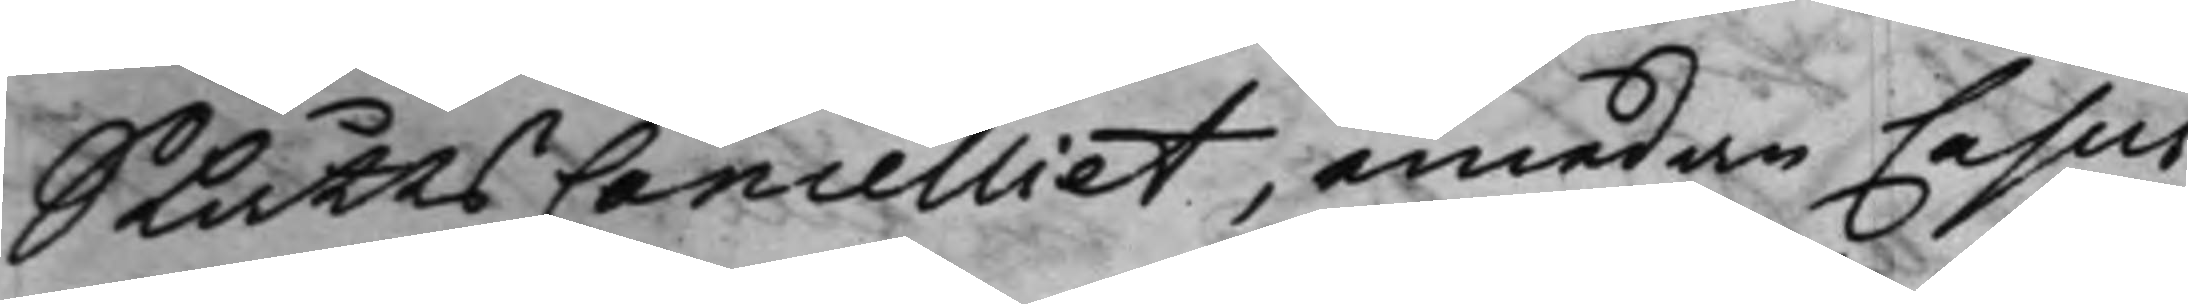SlåttsCancelliet, emedan Casus
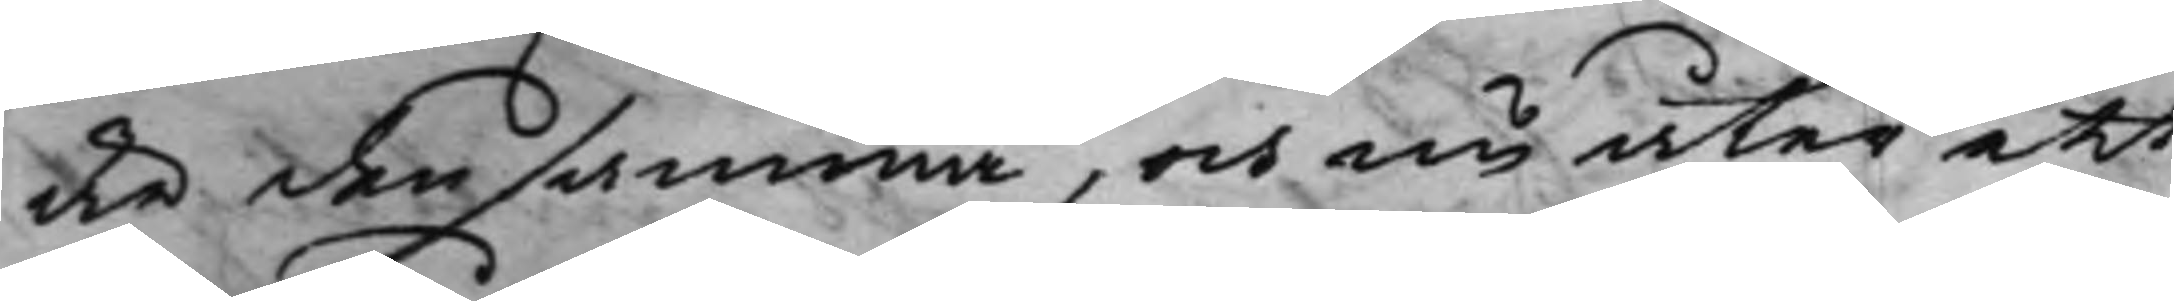är densamma, och nu åter att
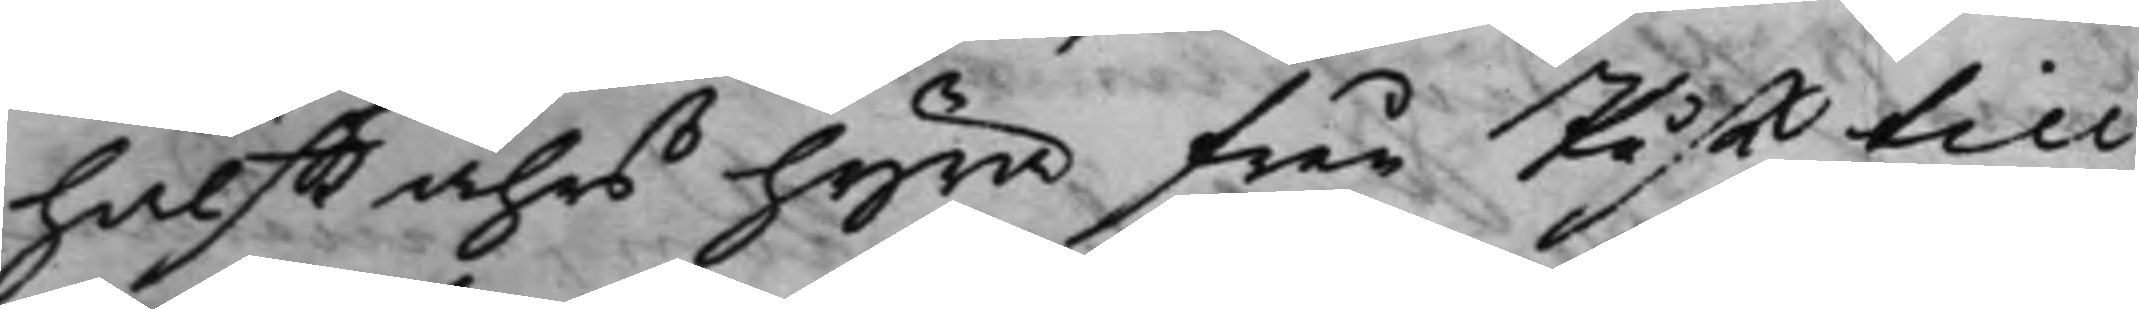halfft åhrs hyra från Påsk till
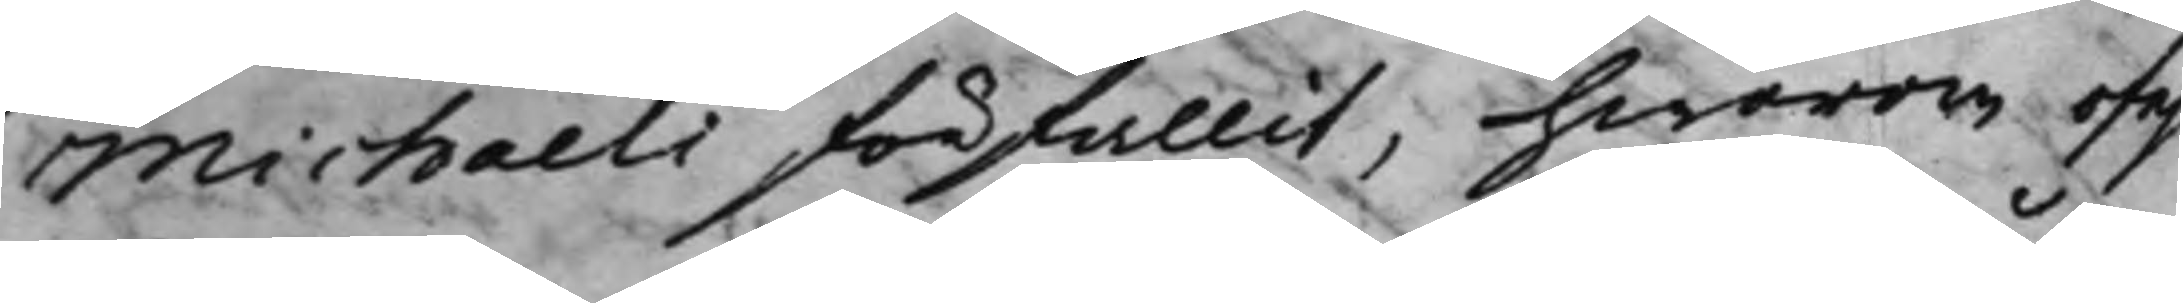Michaeli förfallit, hwarom ofel¬
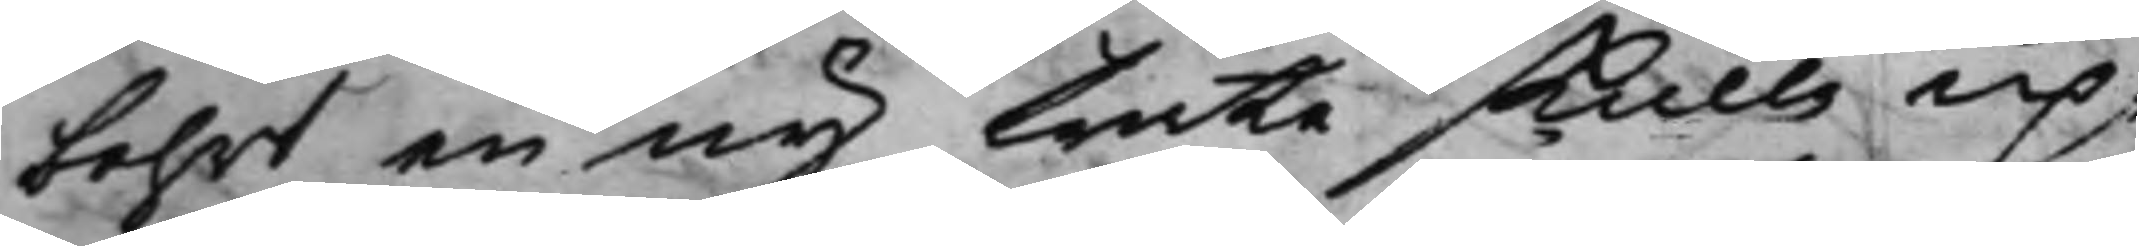bahrt en ny träta skulle up¬
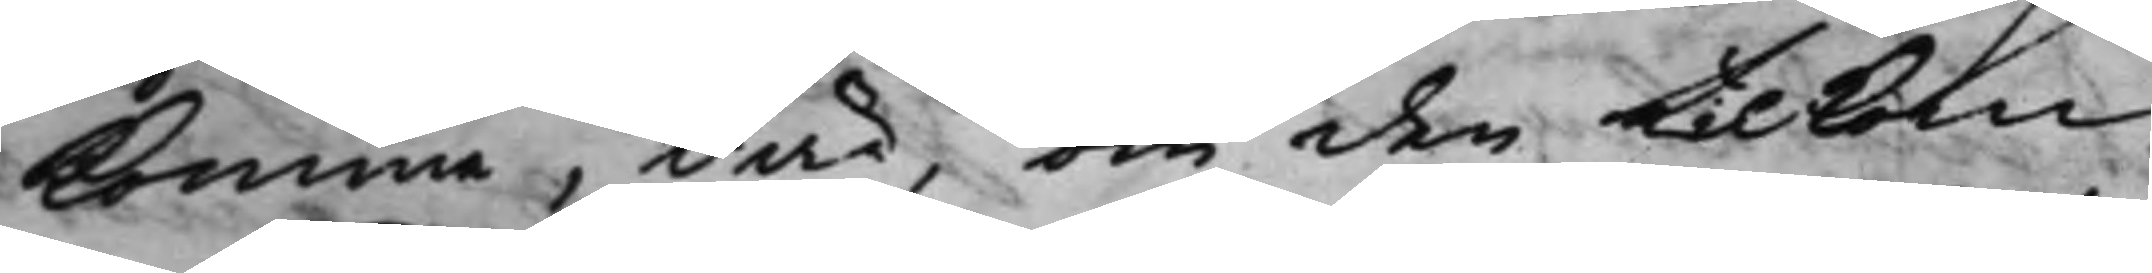komma, där, om den tilkom¬
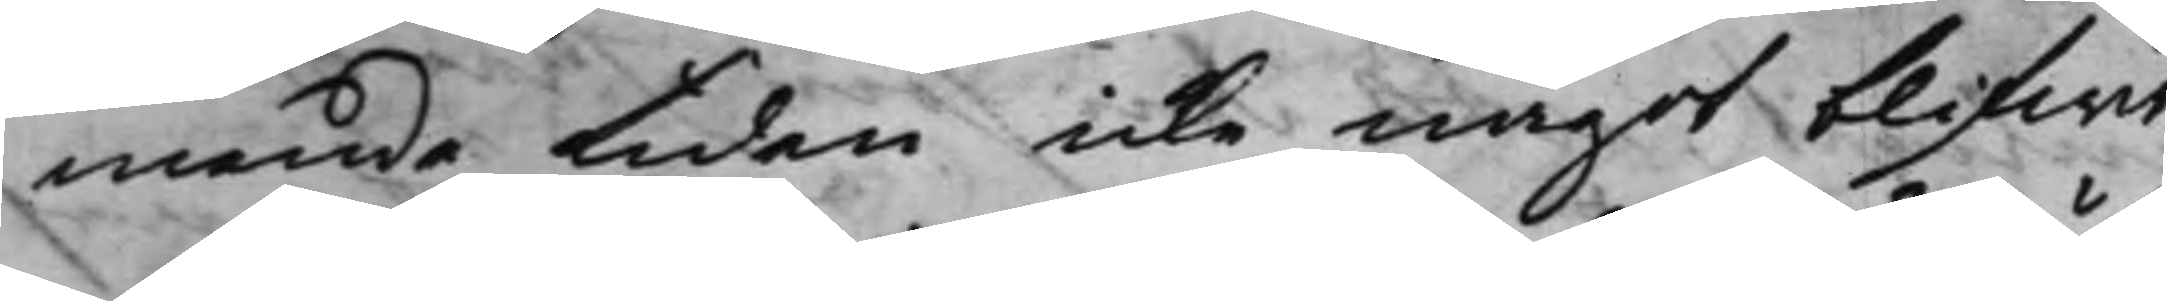mande tiden icke något blifwit
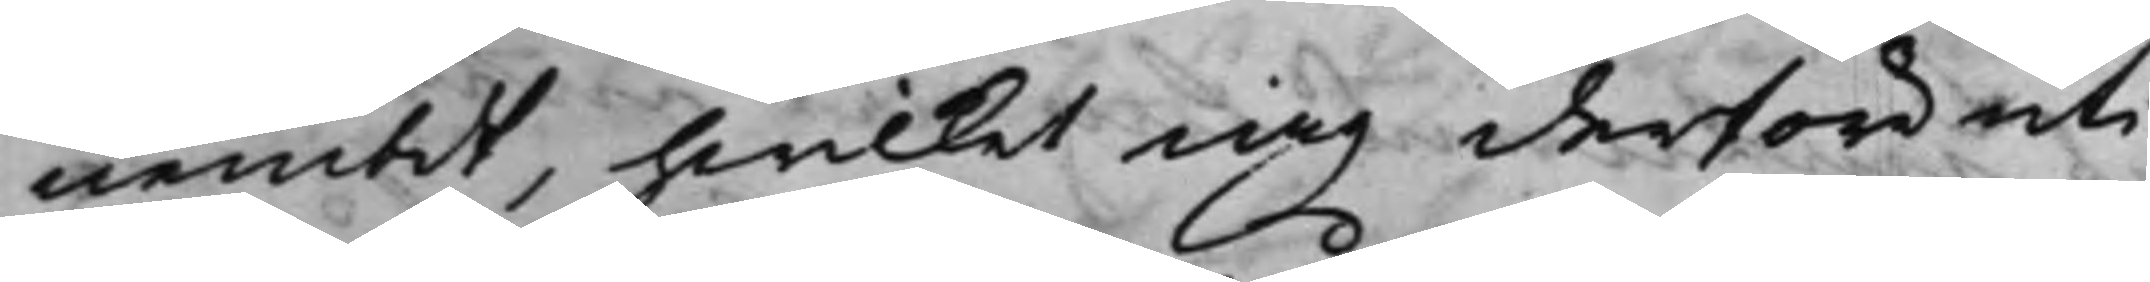nembdt, hwilket iag derföre uti
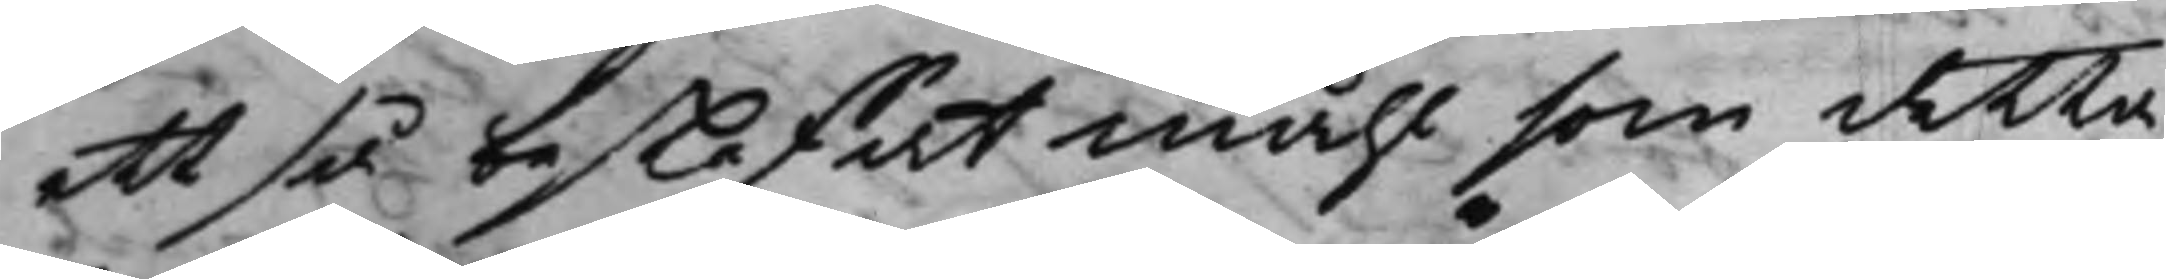ett så beskaffat måhl som detta
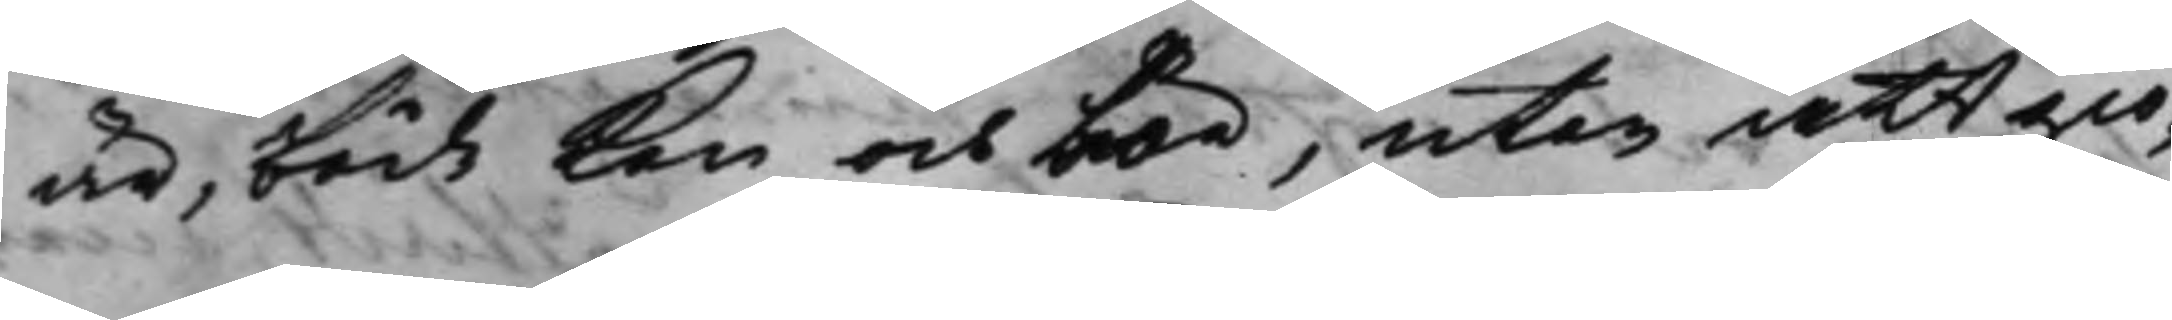är, både kan och bör, utan att giö¬
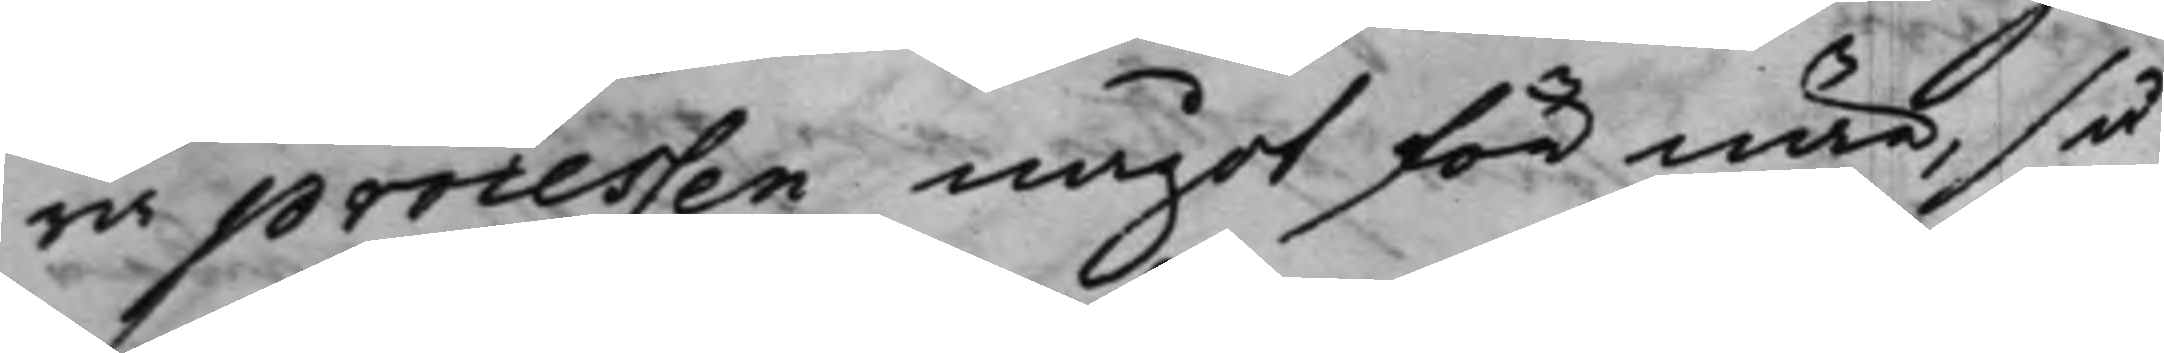ra processen något för när, så¬
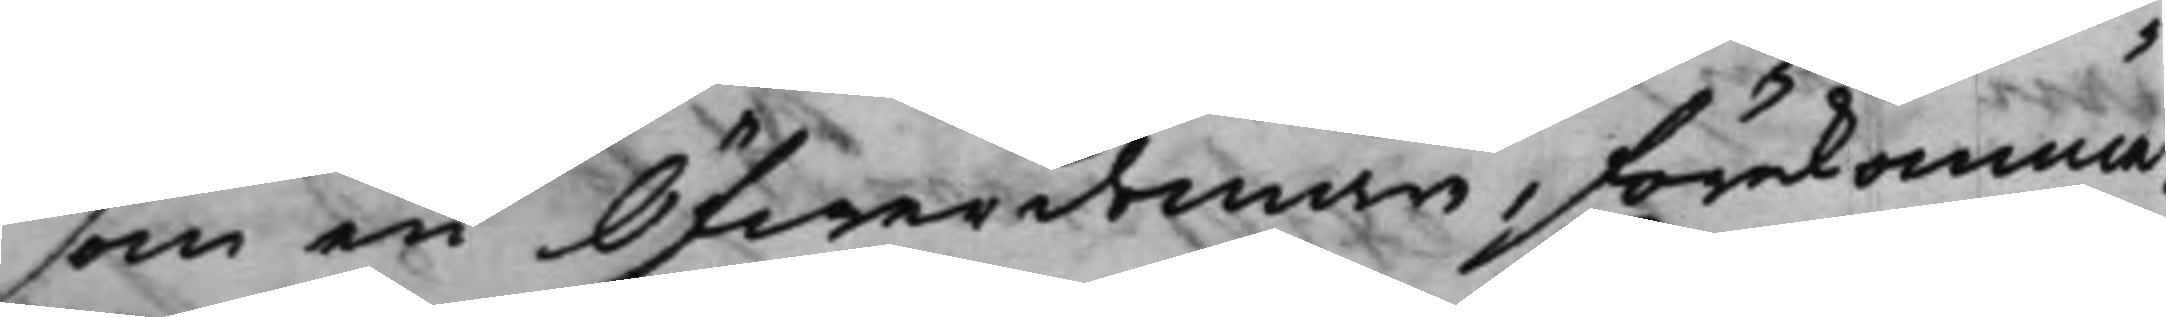som en Öfwerdomare, förekomma,
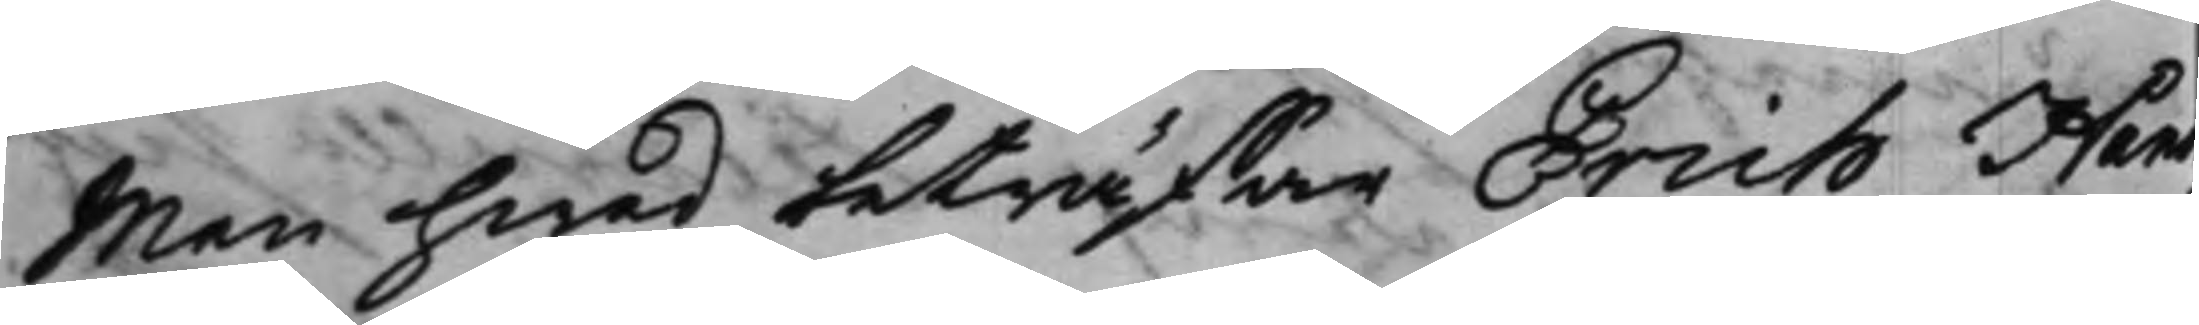Men hwad beträffar Erich Han¬
